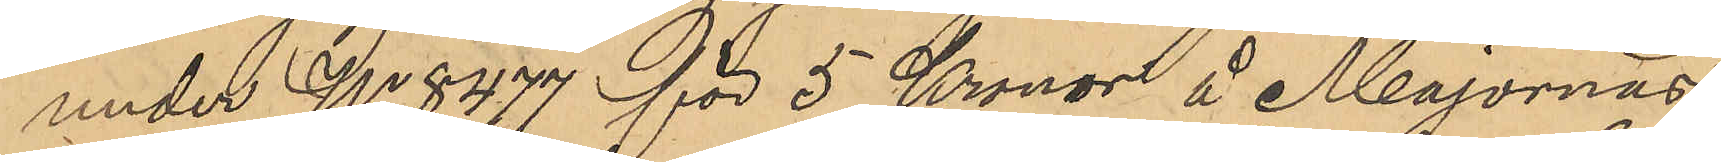under No 8477 för 5 Kronor å Majornas
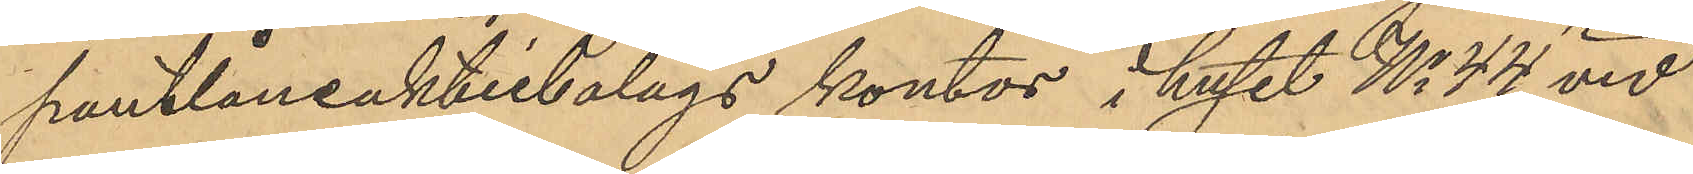pantlåneaktiebolags kontor i huset No 44 vid
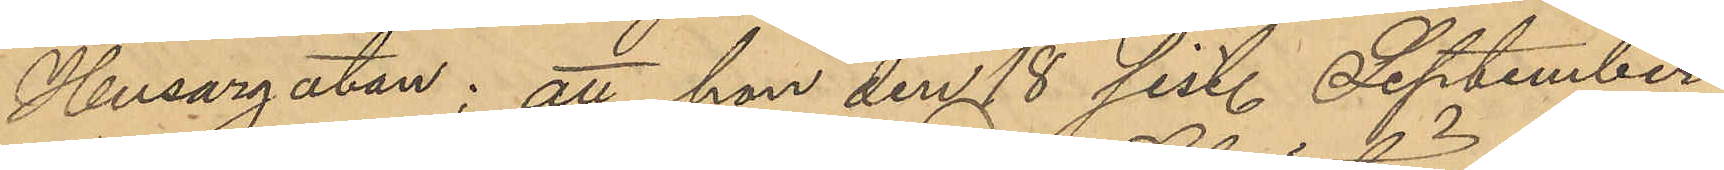Husargatan; att hon den 18 sist. September
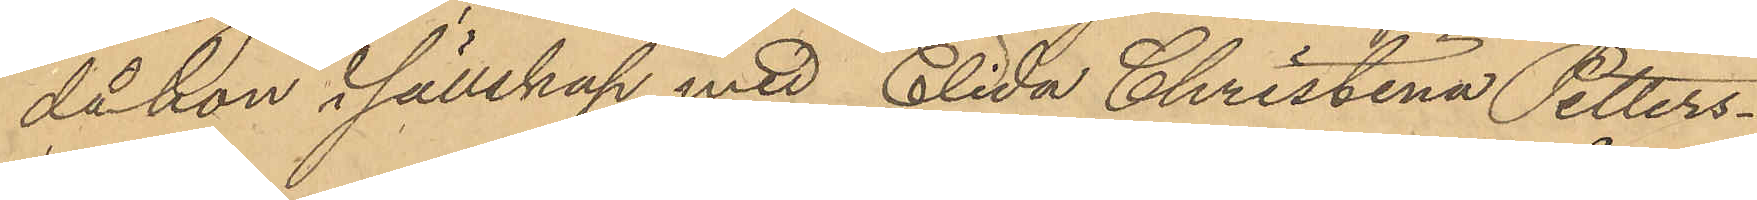då hon i sällskap med Elida Christina Petters¬
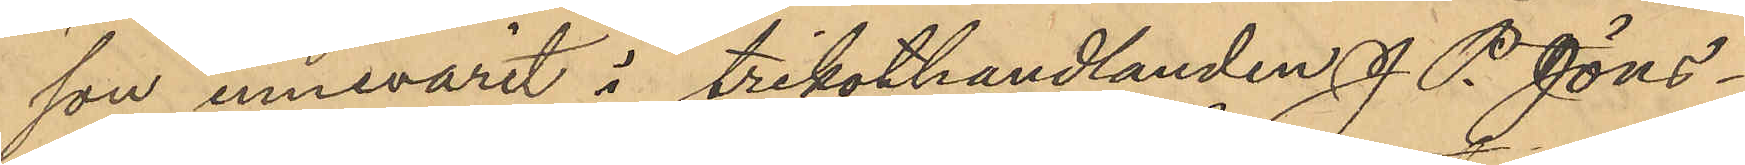son innevarit i trikothandlanden J. P. Jöns¬
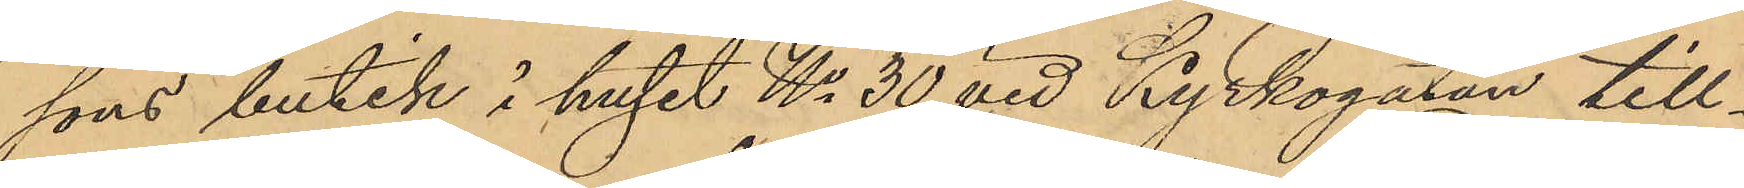sons butik i huset No 30 vid Kyrkogatan till¬
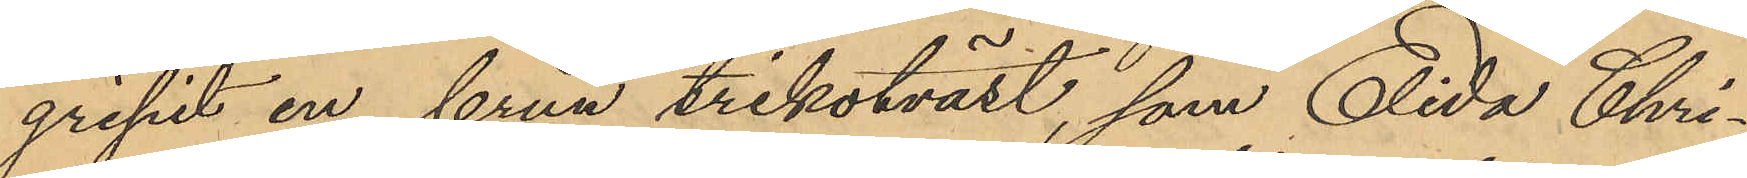gripit en brun trikotväst, som Elida Chri¬
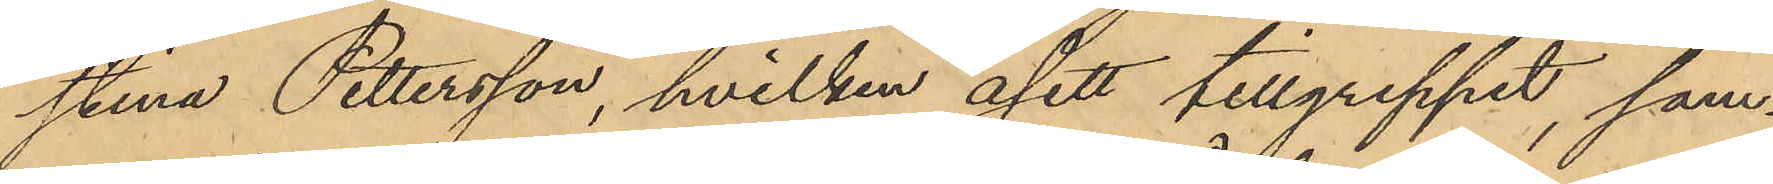stina Pettersson, hvilken åsett tillgreppet, sam¬
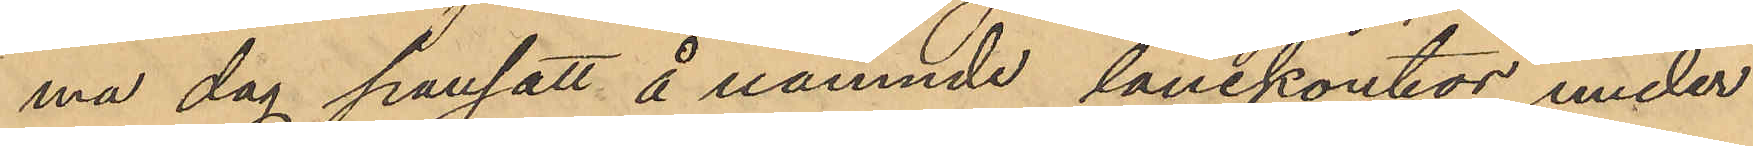ma dag pansatt å nämnde lånekontor under
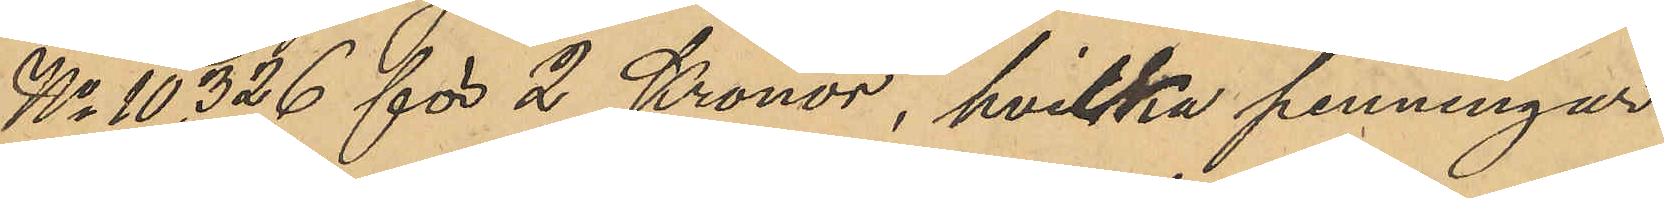No 10,326 för 2 Kronor, hvilka penningar
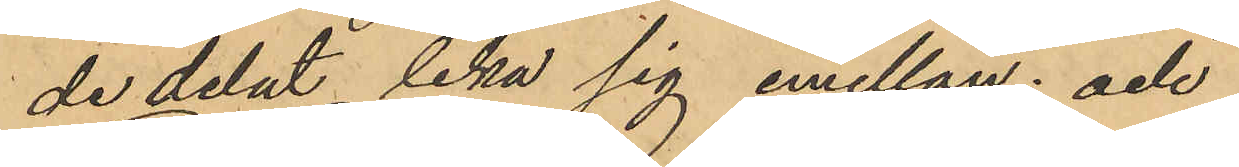de delat lika sig emellan; och
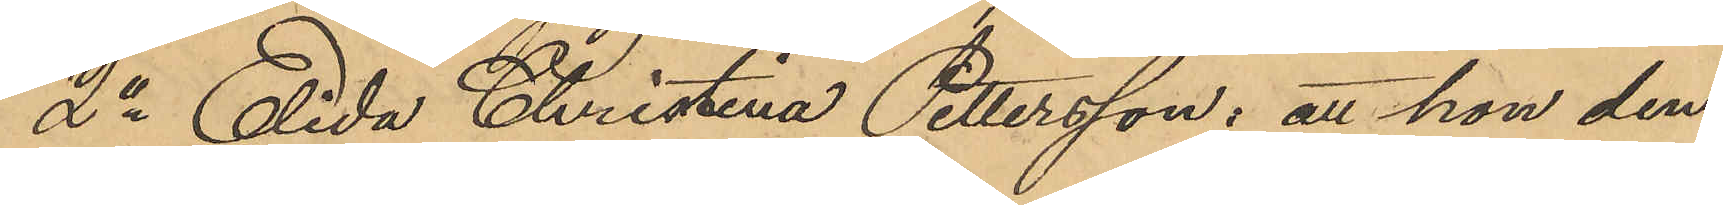2o Elida Christina Pettersson: att hon den
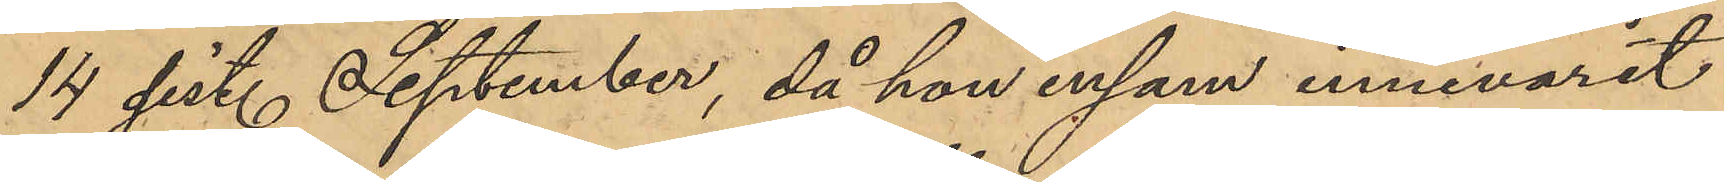14 sist. September, då hon ensam innevarit
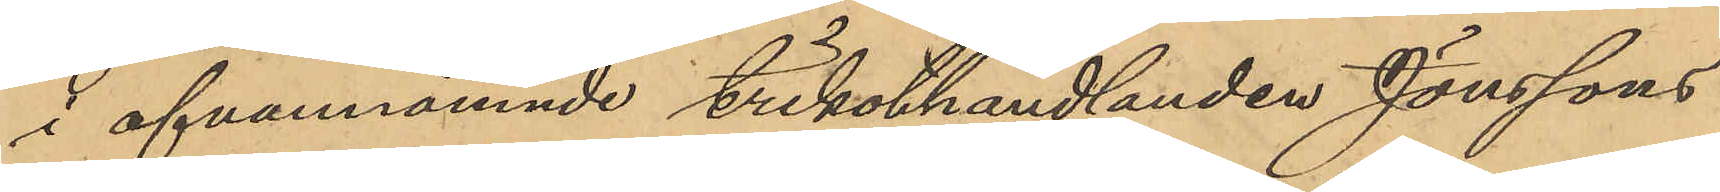å ofvannämnde trikothandlanden Jonssons
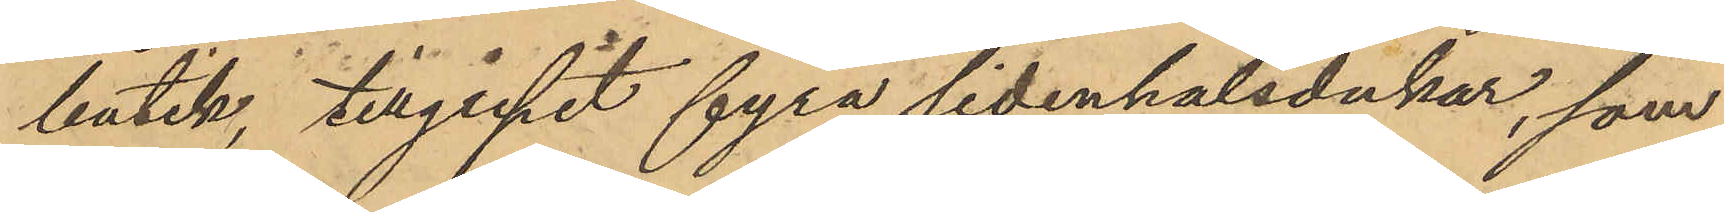butik, tillgripit fyra sidenhalsdukar, som
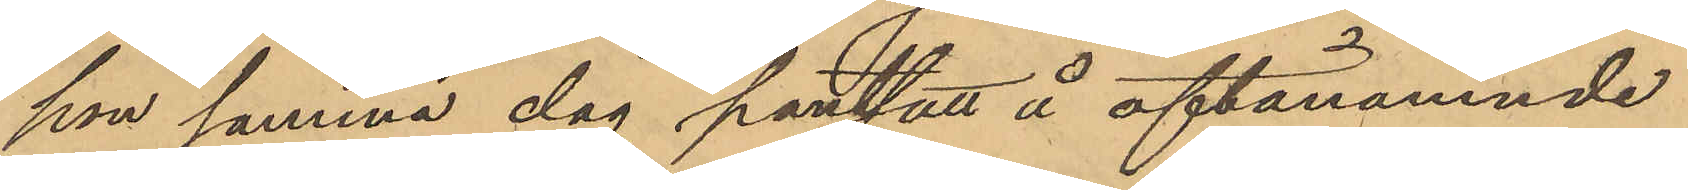hon samma dag pantsatt å oftanämnde
